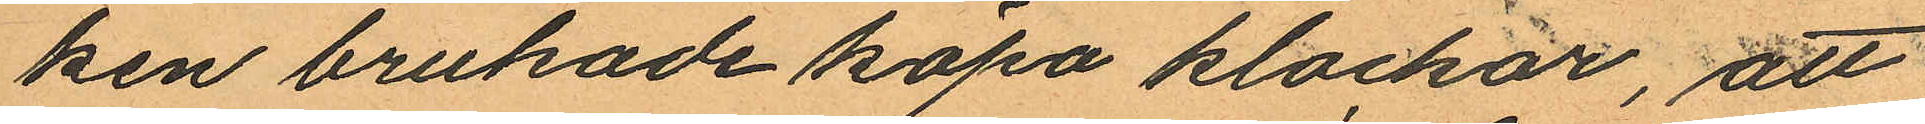ken brukade köpa klockor, att
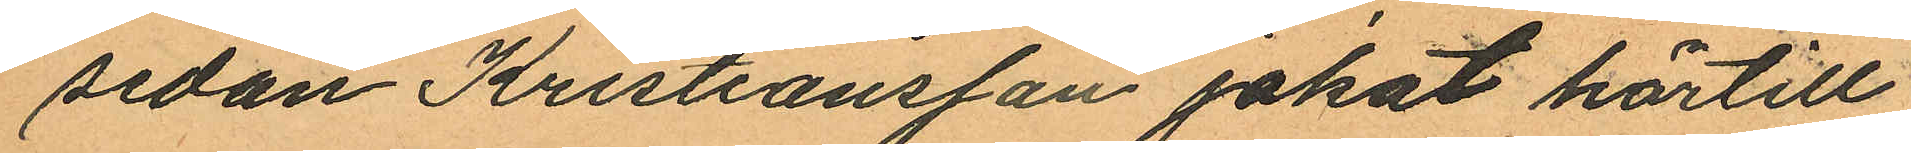sedan Kristiansson jakat härtill
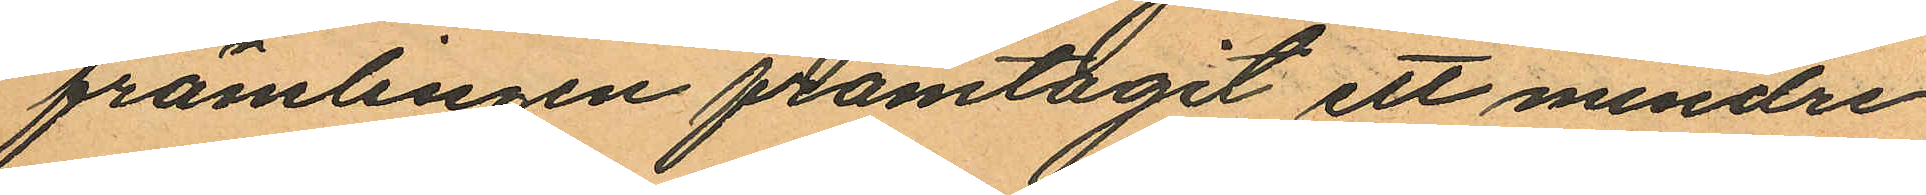främlingen framtagit ett mindre
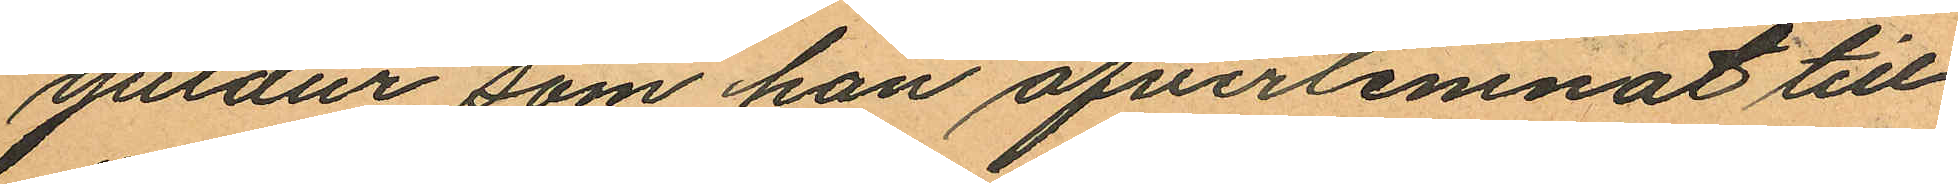guldur som han öfverlemnat till
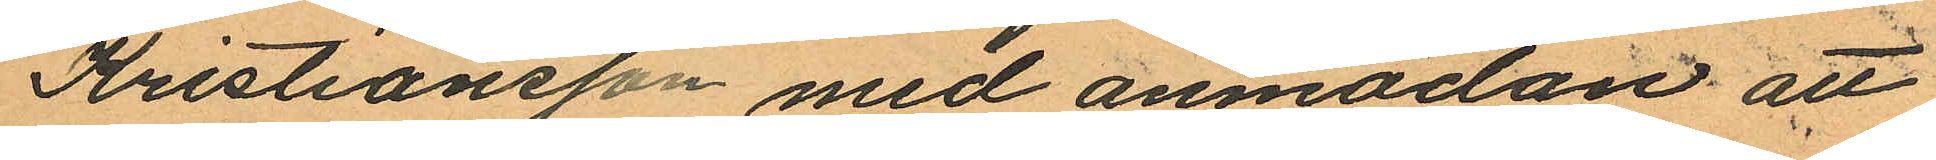Kristiansson med anmodan att
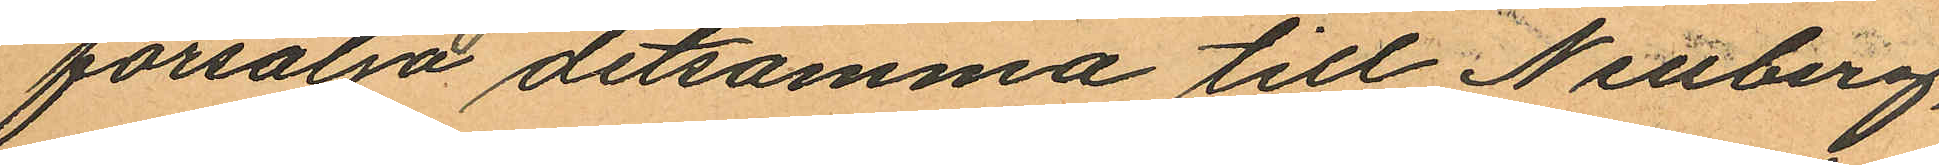försälja detsamma till Neuberg,
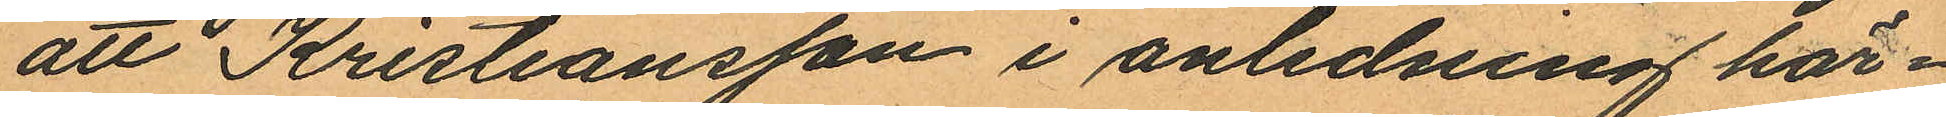att Kristiansson i anledning här¬
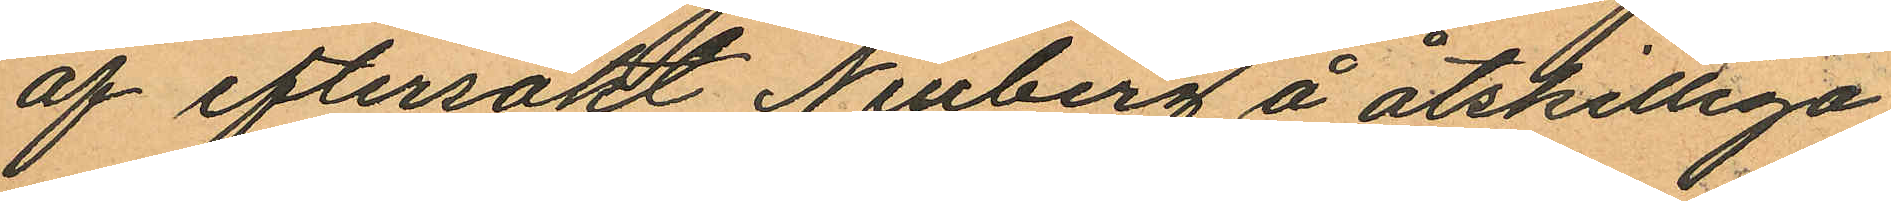af eftersökt Neuberg å åtskilliga
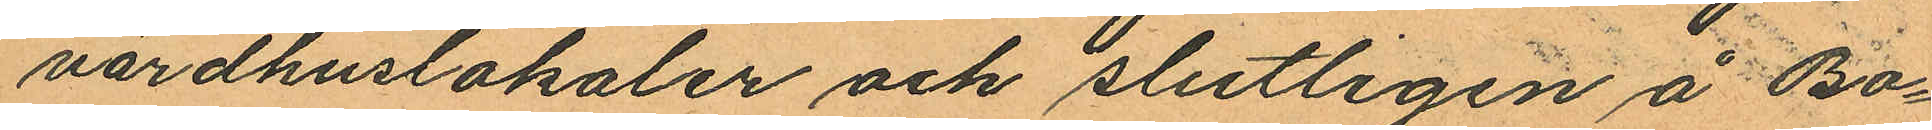värdhuslokaler och slutligen å Bo¬
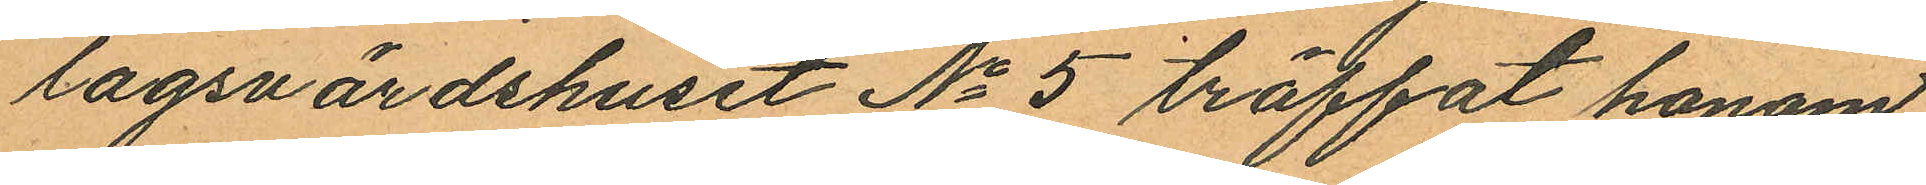lagsvärdshuset No 5 träffat honom
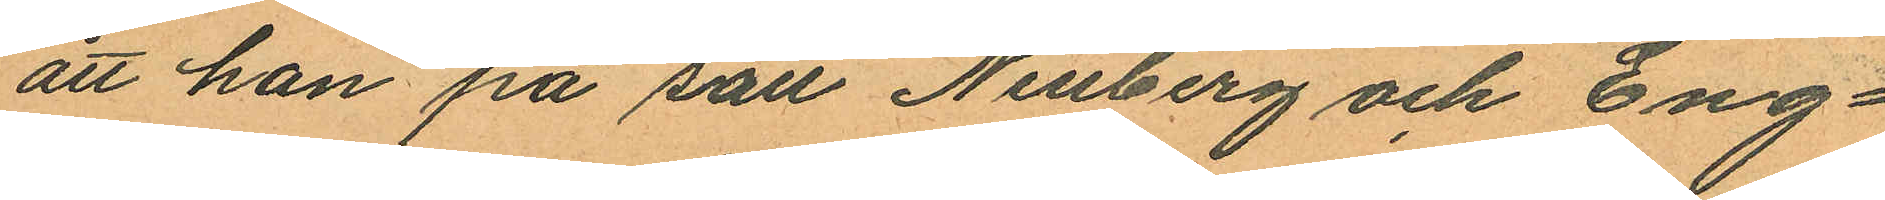att han på sätt Neuberg och Eng¬
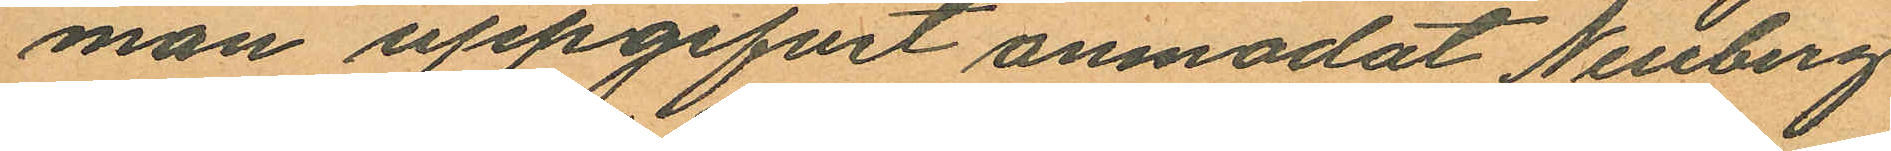man uppgifvit anmodat Neuberg
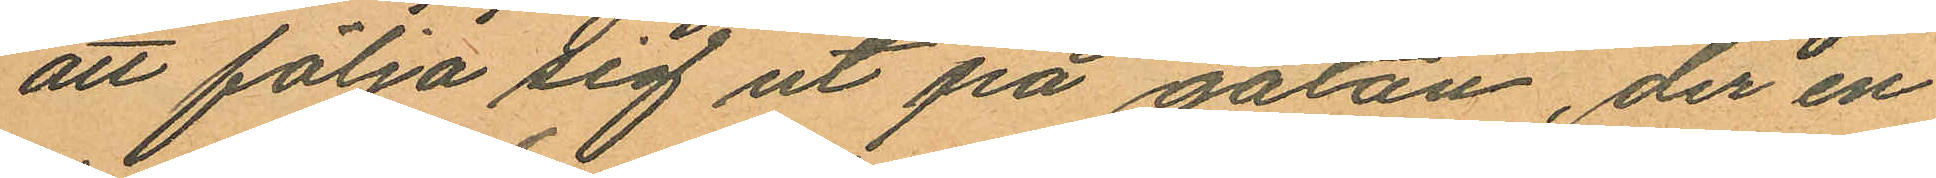att följa sig ut på gatan, der en
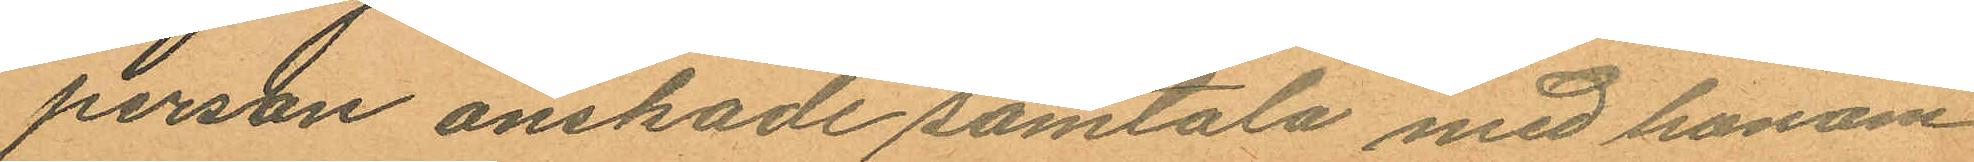person önskade samtala med honom
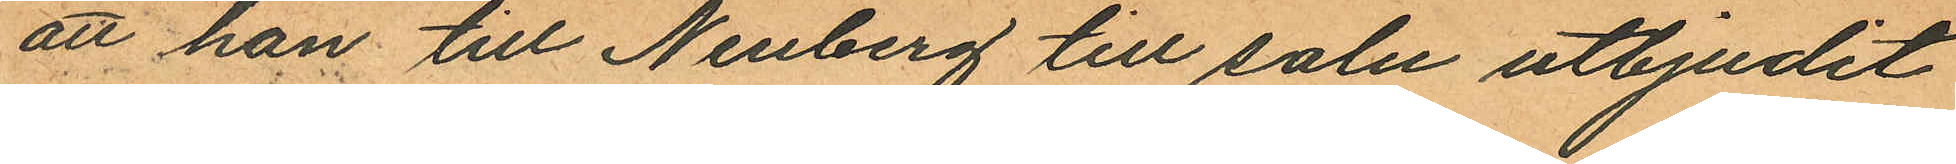att han till Neuberg till salu utbjudit
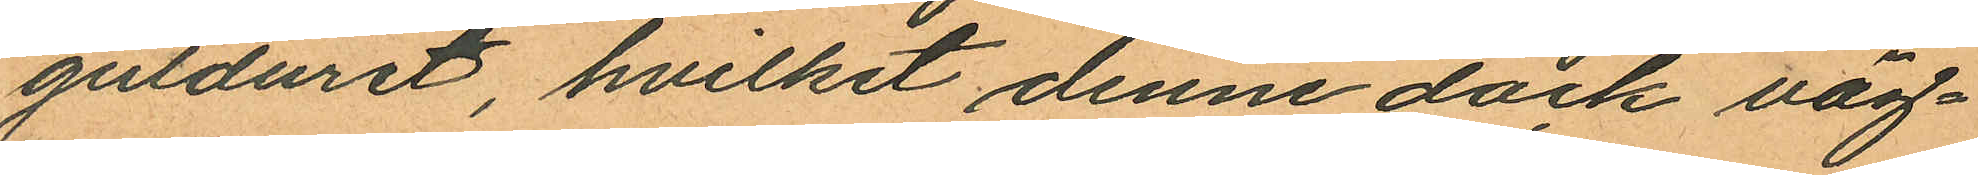gulduret, hvilket denne dock väg¬
